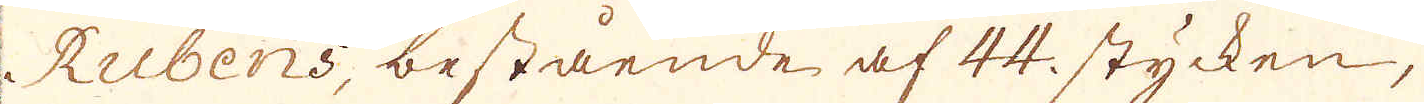Rubens, bestående af 44. stycken,
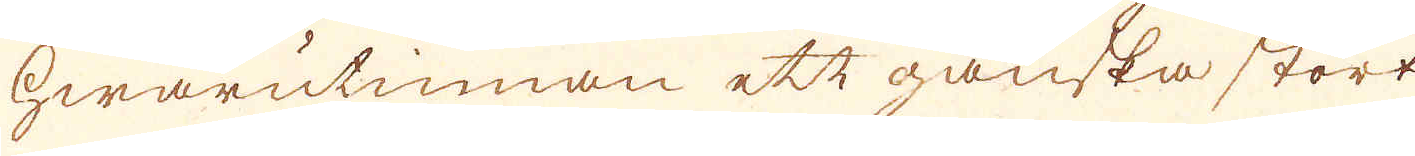hwarutinnan ett ganska stort
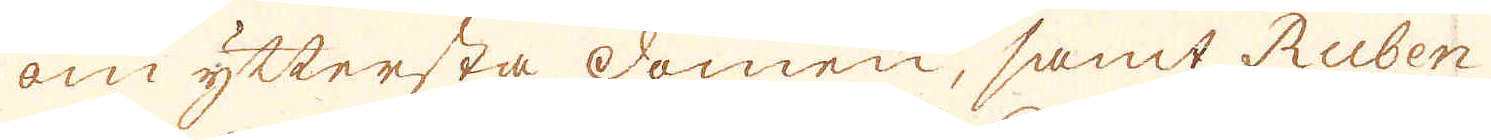om yttersta domen, samt Ruben
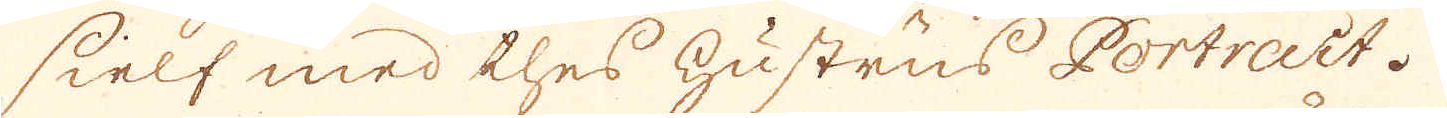sielf med thes hustrus Portrait.
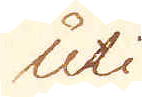Uti
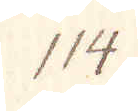114.
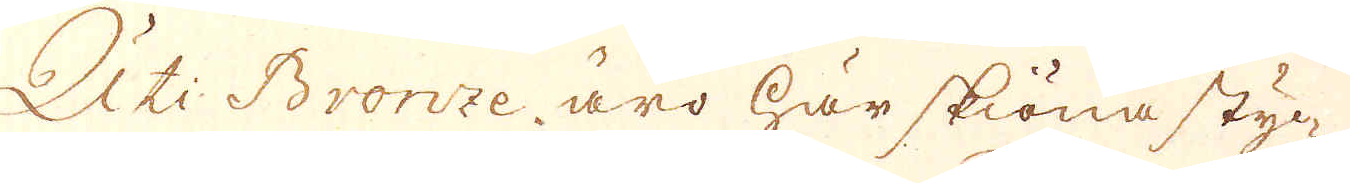Uti Bronze äro här skiöna styc-
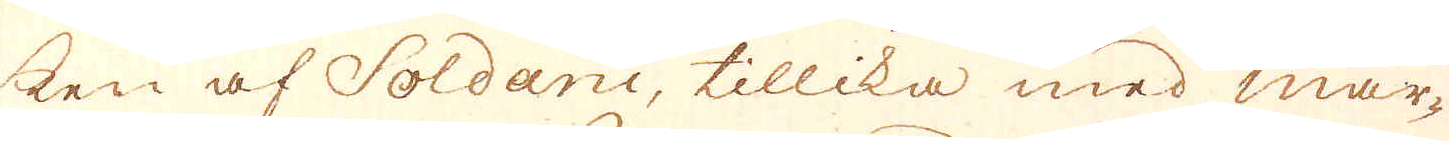ken af Soldani, tillika med mar-
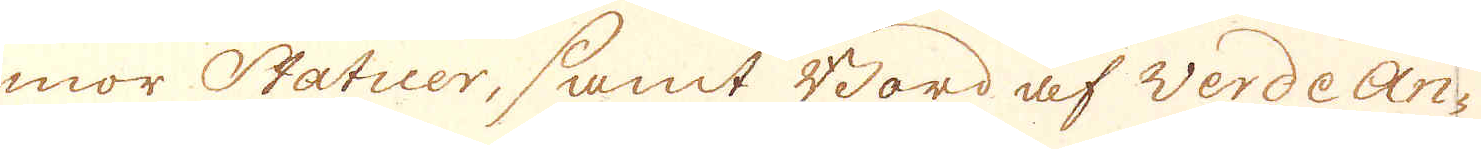mor Statuer, samt Bord af verde an-
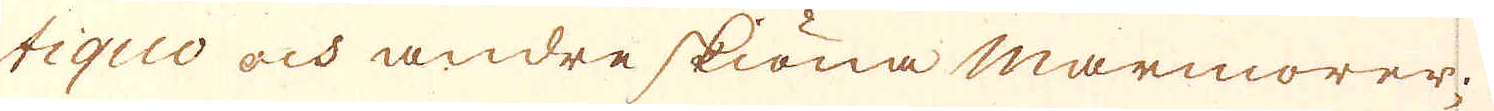tiquo och andre skiöna marmorer.
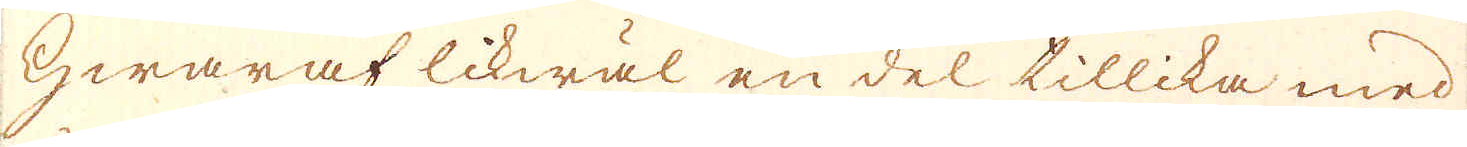Hwaraf likwäl en del tillika med
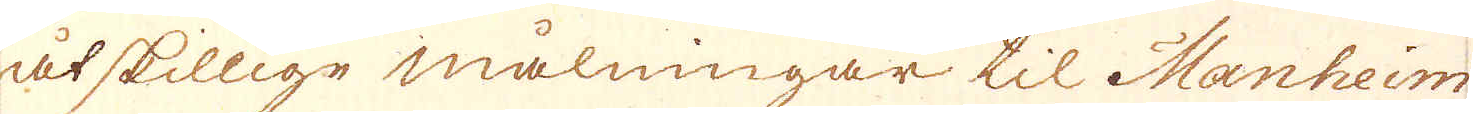åtskillige målningar til Manheim
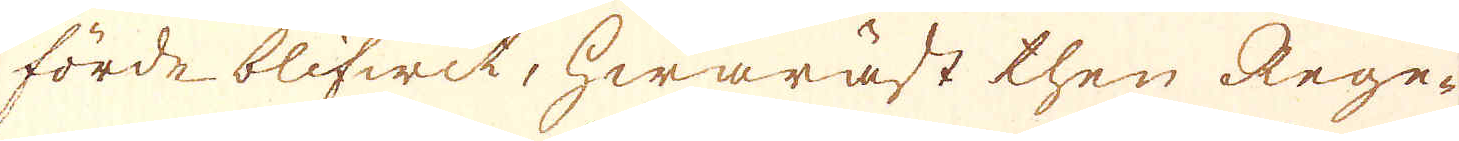förde blifwit, hwaräst then Rege-
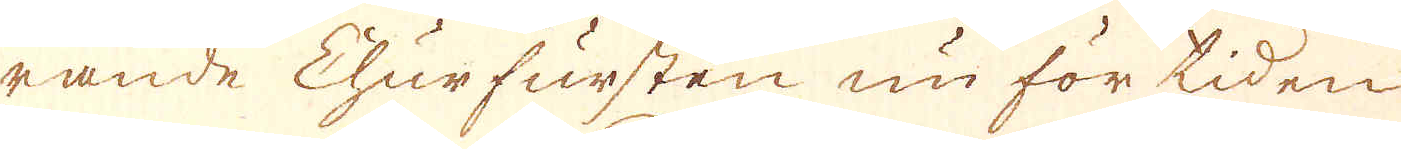rande Churfursten nu för tiden
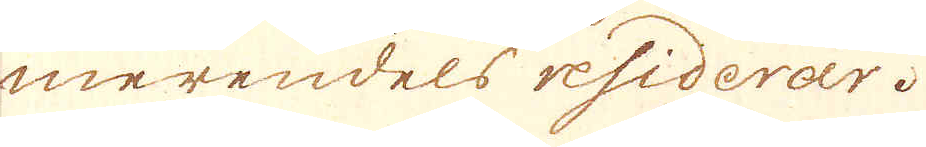merendels residerar.
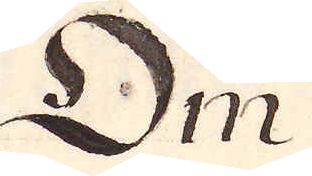Om
